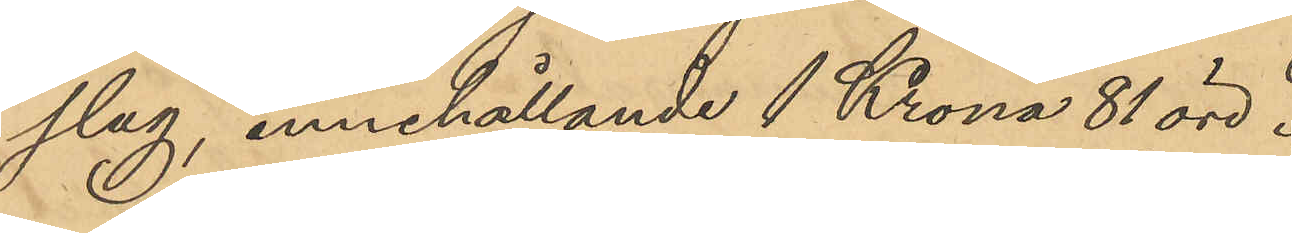slag, innehållande 1 Krona 81 öre.
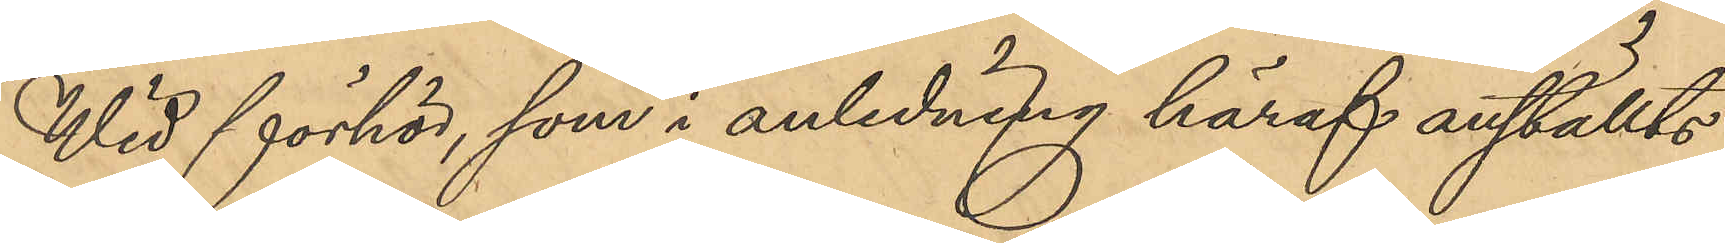Wid förhör, som i anledning häraf anställts
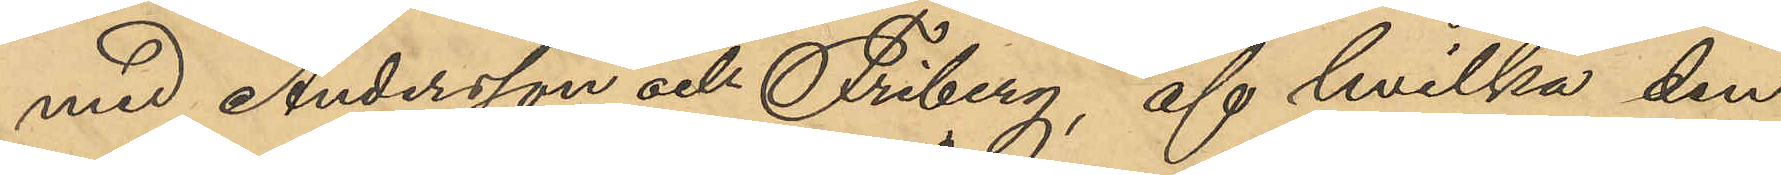med Andersson och Friberg, af hvilka den
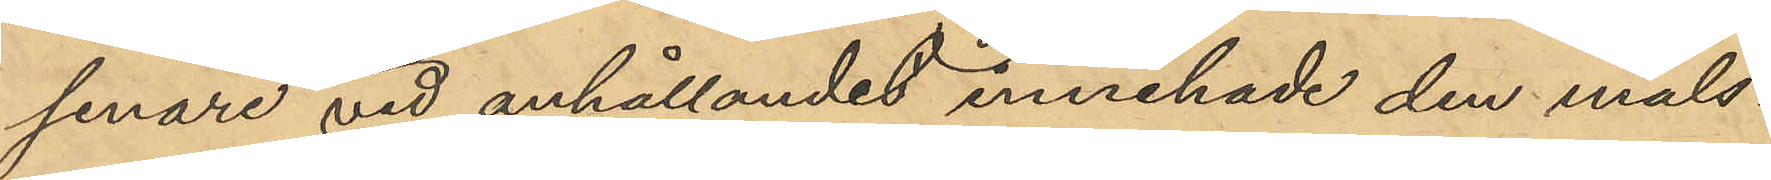senare vid anhållandet innehade den måls¬
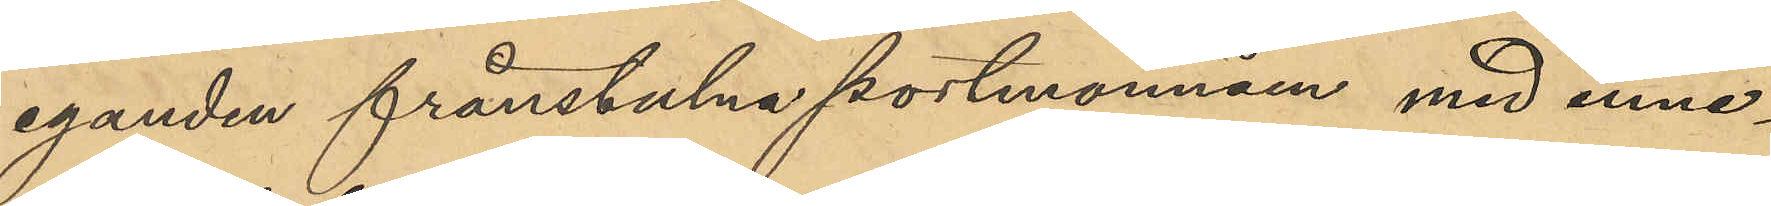eganden frånstulna portmonnäen med inne¬
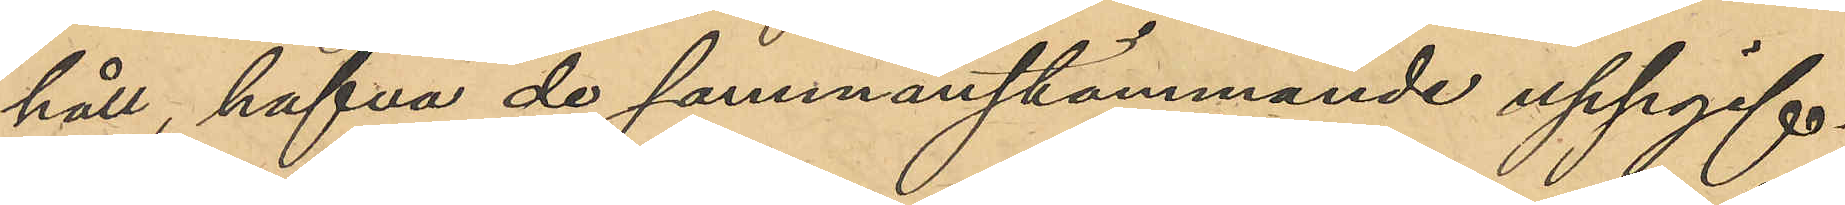håll, hafva de sammanstämmande uppgif¬
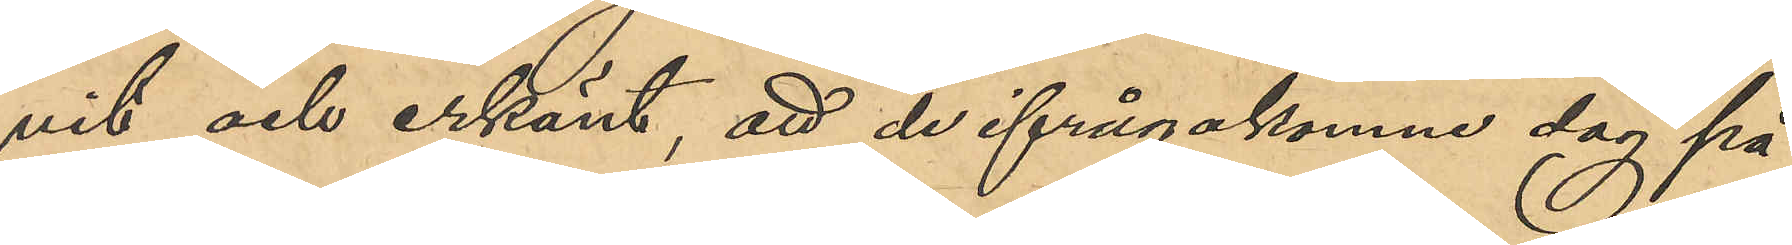vit och erkänt, att de ifrågakomne dag på
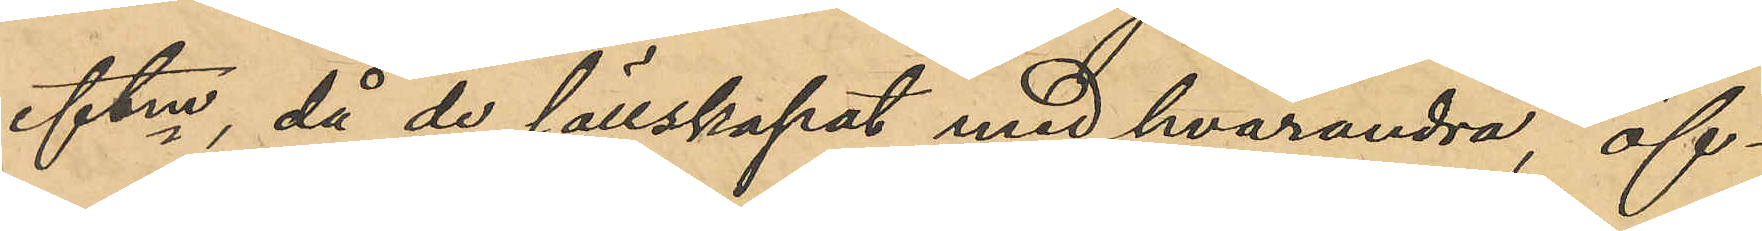eftm, då de sällskapat med hvarandra, öf¬
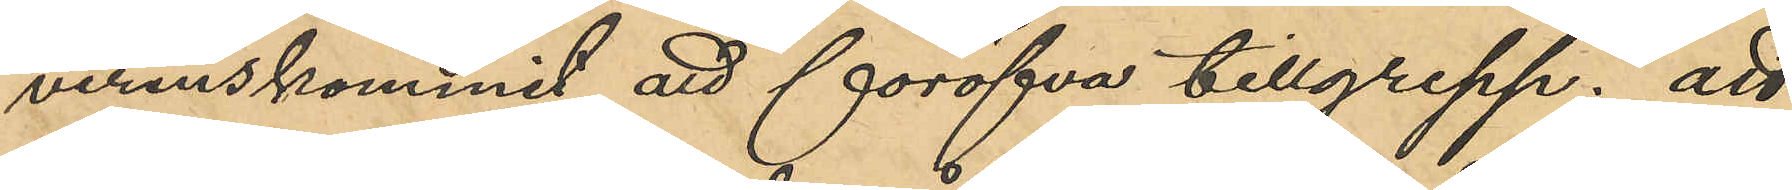verenskommit att föröfva tillgrepp; att
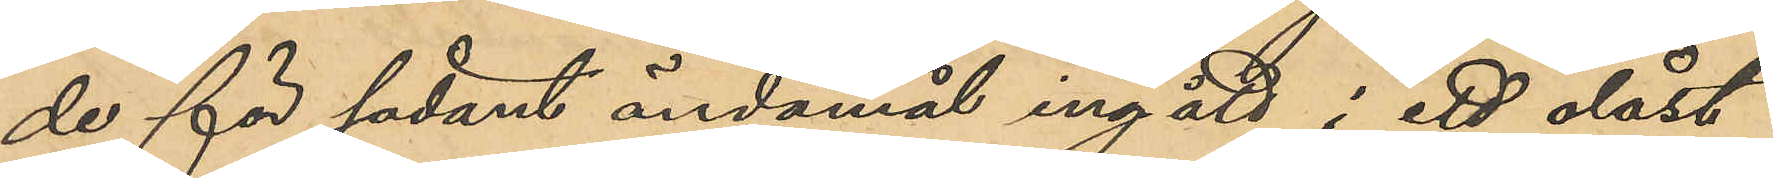de för sådant ändamål ingått i ett olåst
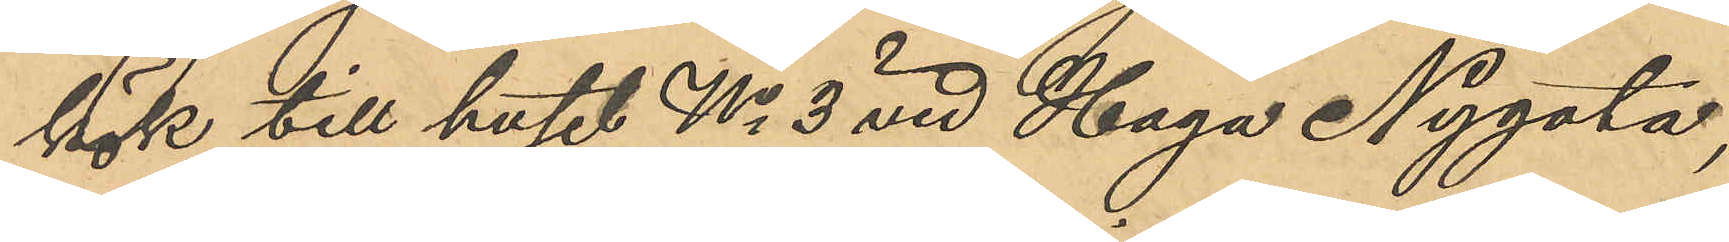kök till huset No 3 vid Haga Nygata;
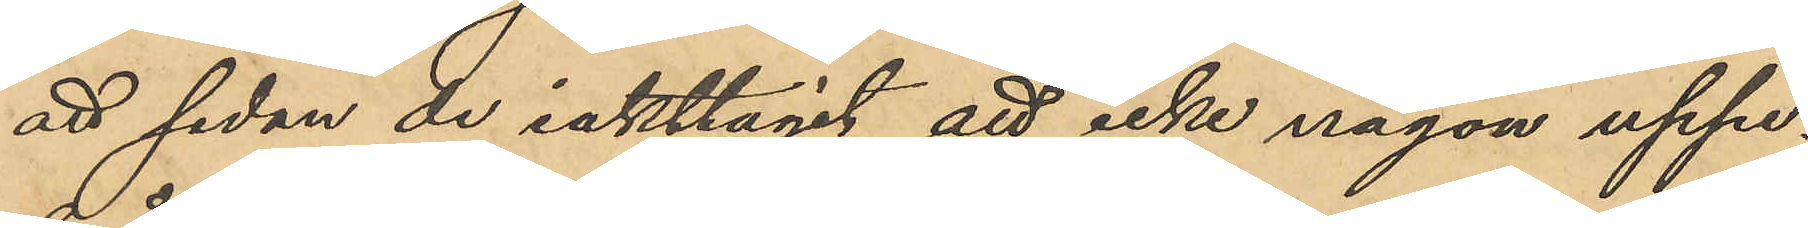att sedan de iakttagit att icke någon uppe¬
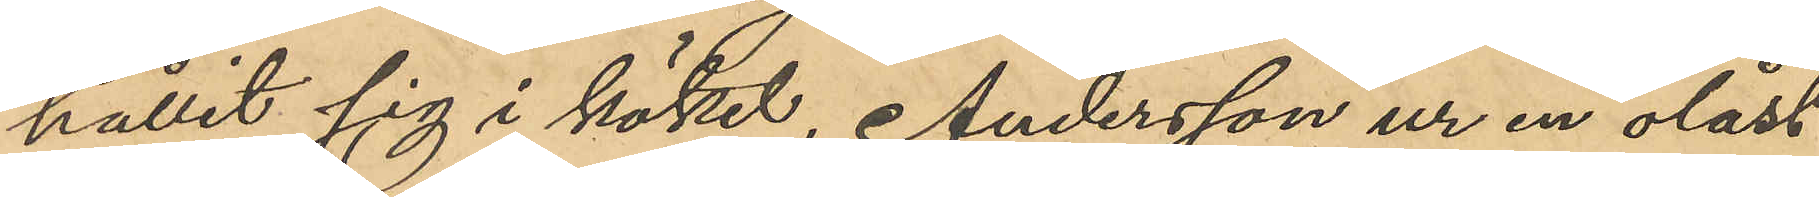hållit sig i köket, Andersson ur en olåst
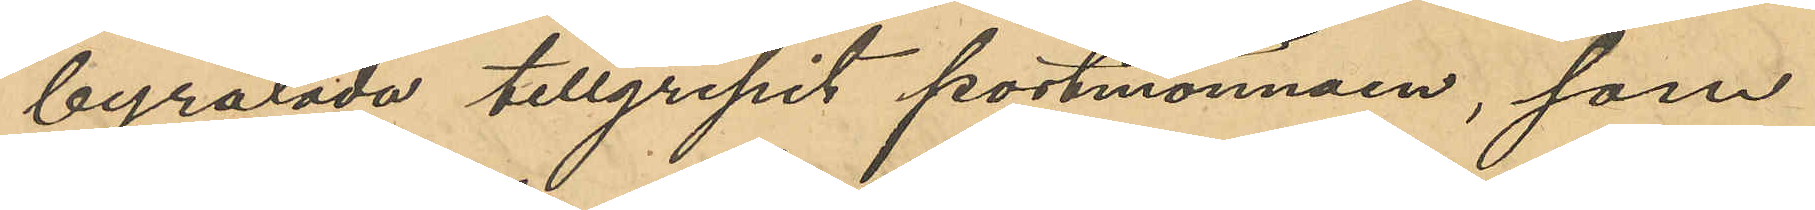byrålåda tillgripit portmonnäen, som
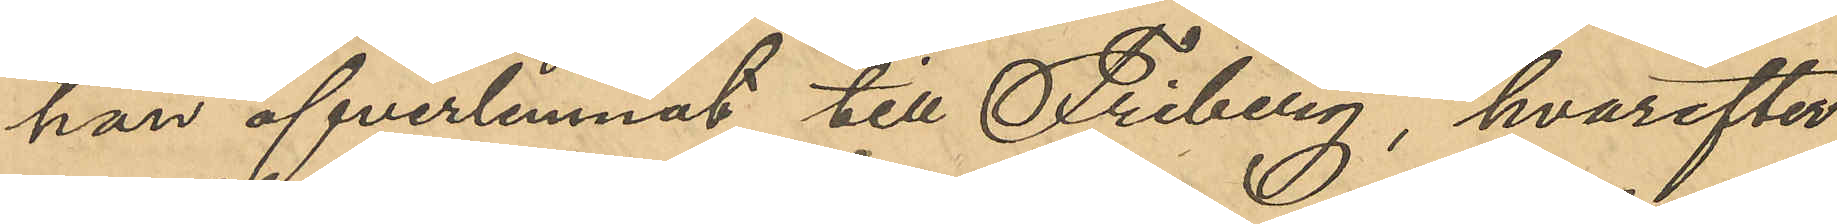han öfverlemnat till Friberg, hvarefter
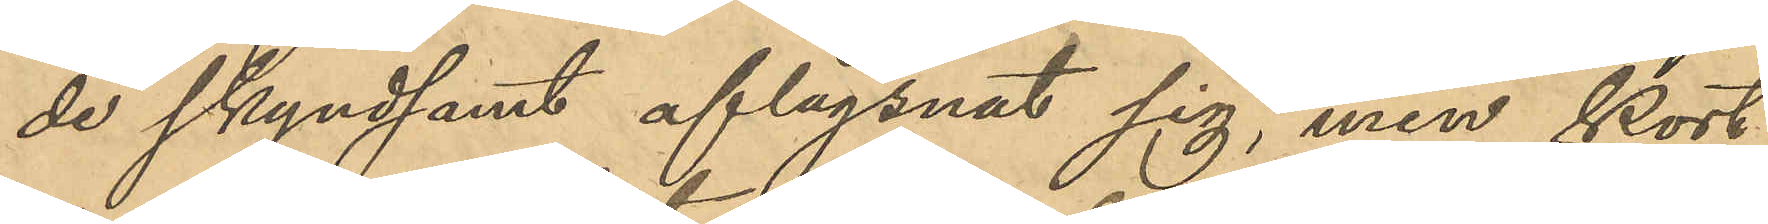de skyndsamt aflägsnat sig, men kort
